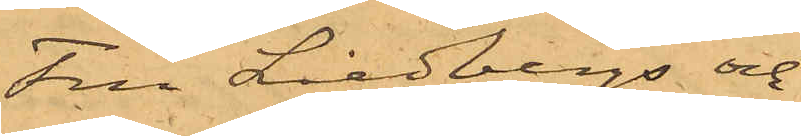Fru Liedbergs och
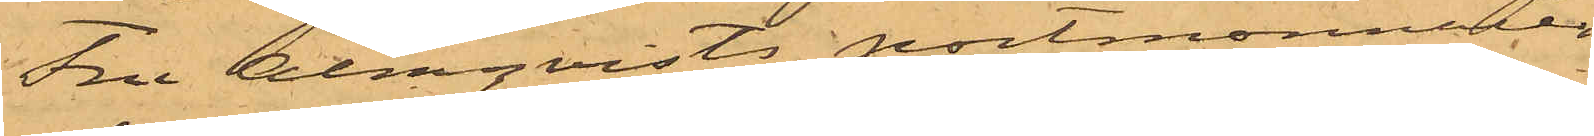Fru Almqvists portmonnaier
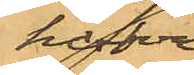hafva
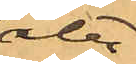åter¬
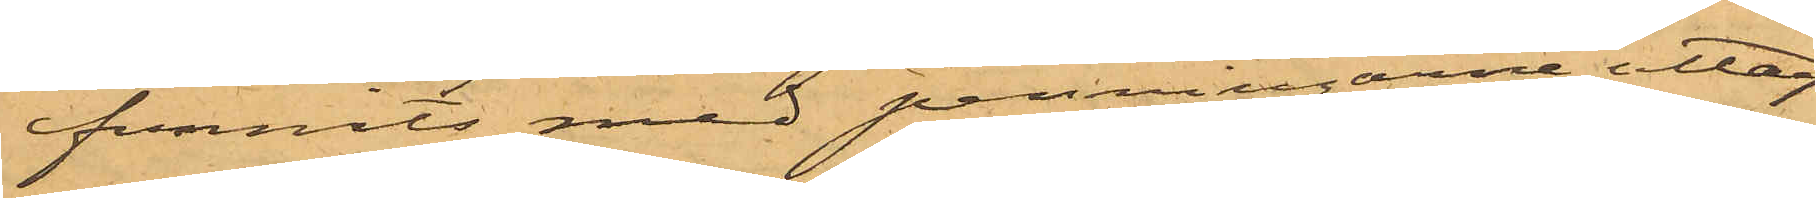funnits med penningarne uttag¬
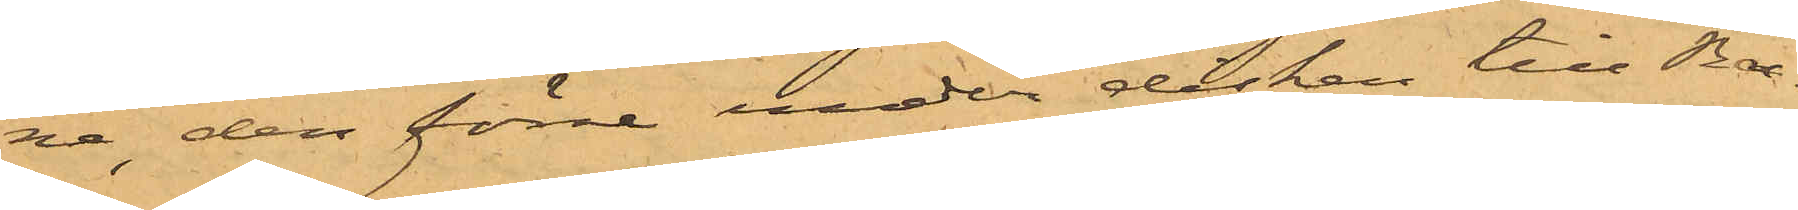na, den förre under disken till Ba¬
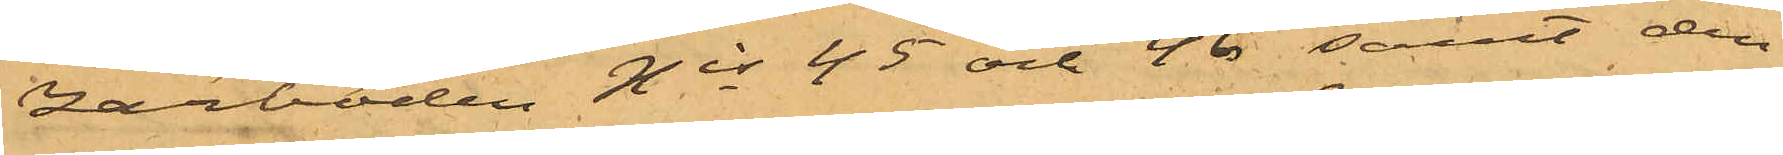zarboden Nis 45 och 46 samt den
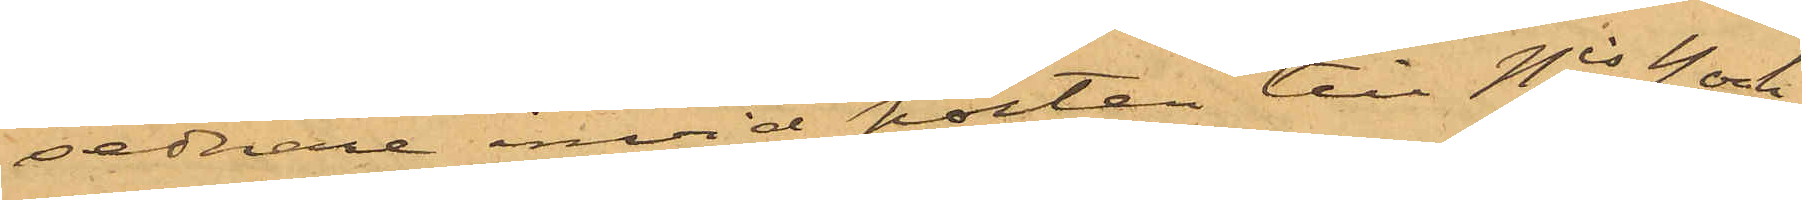sednare invid porten till Nis 4 och
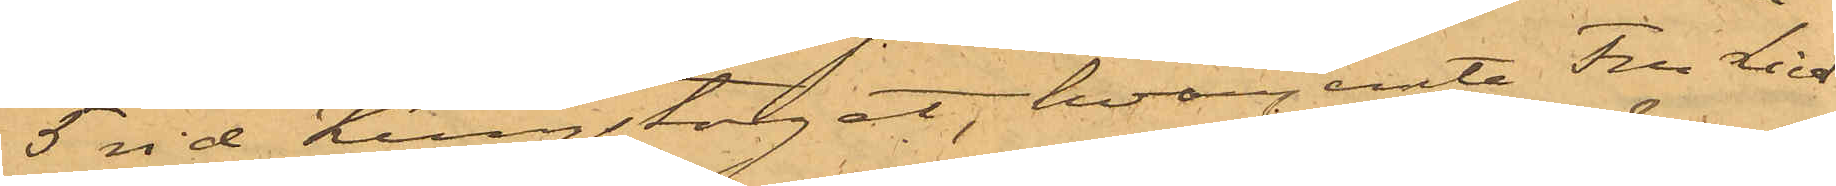5 vid Kungstorget, hvarjemte Fru Lied¬
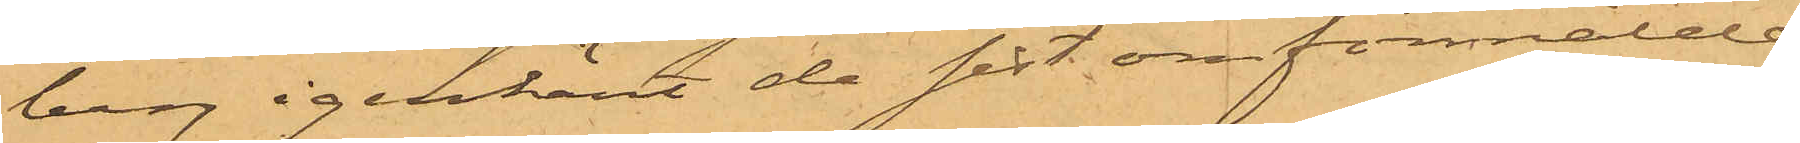berg igenkänt de sist omförmälde
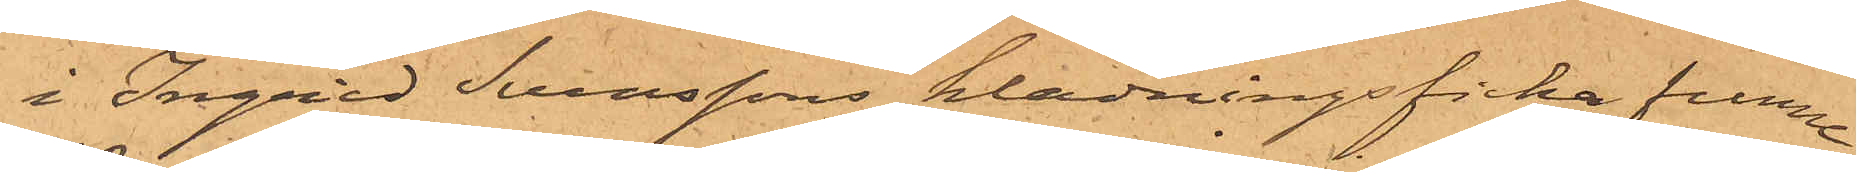i Ingrid Svenssons klädningsficka funne
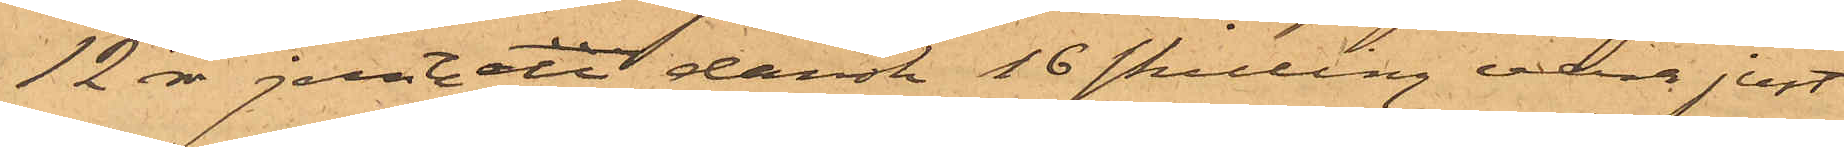12 rdr jemte en dansk 16 skilling vara just
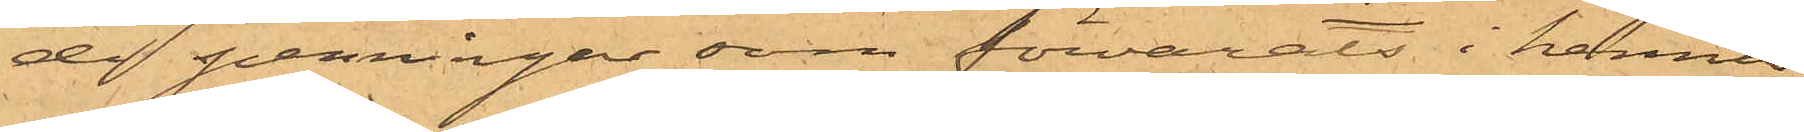de penningar som förvarats i hennes
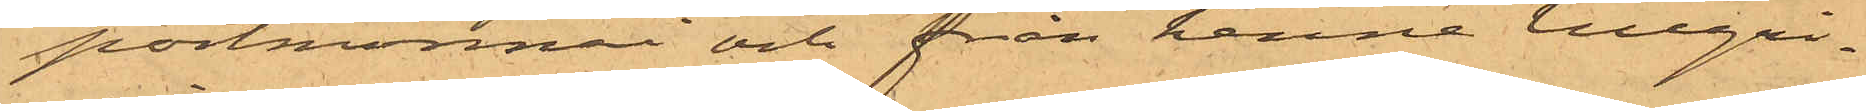portmonnai och från henne tillgri¬
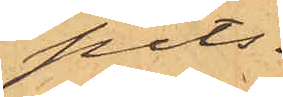pits.
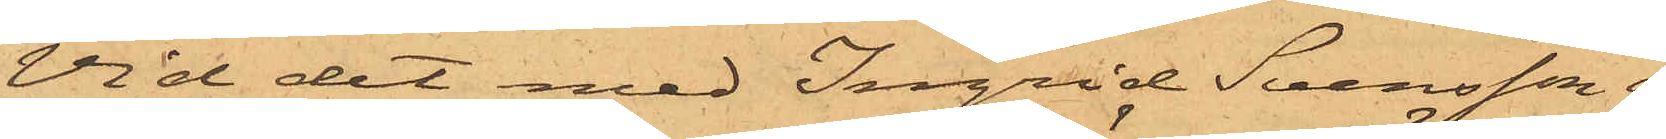Vid det med Ingrid Svensson i
